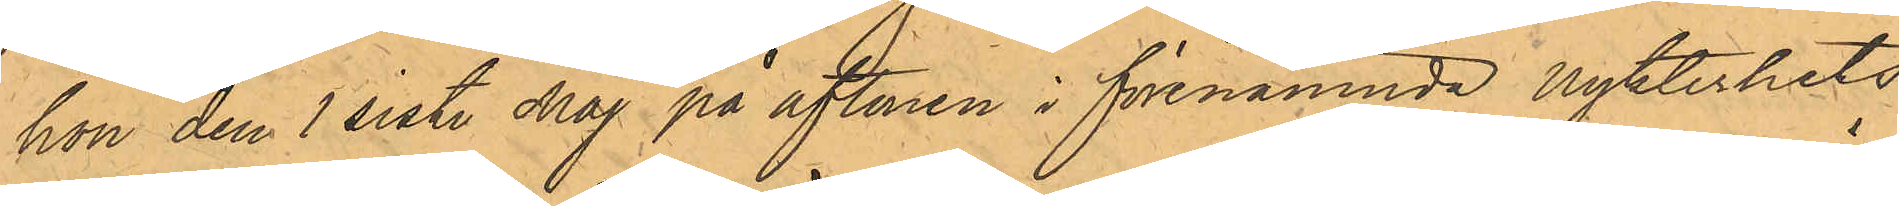hon den 1 sist. Maj på aftonen i förenämnda Nykterhets¬
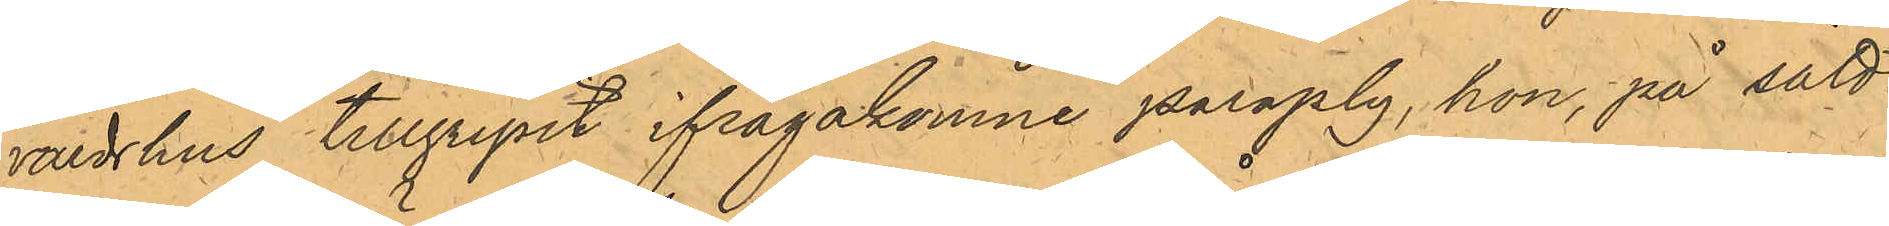värdshus tillgripit ifrågakomne paraply, hon, på sätt
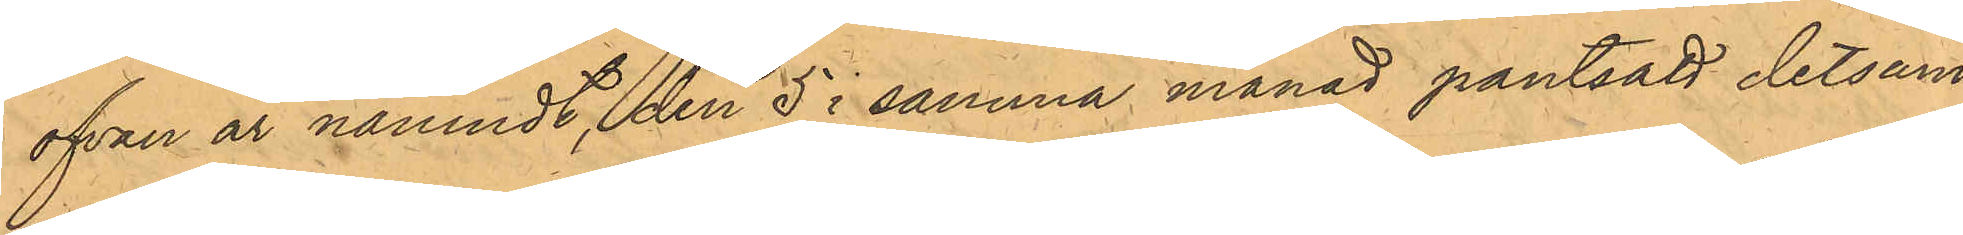ofvan är nämndt, den 5 i samma månad pantsatt detsam¬
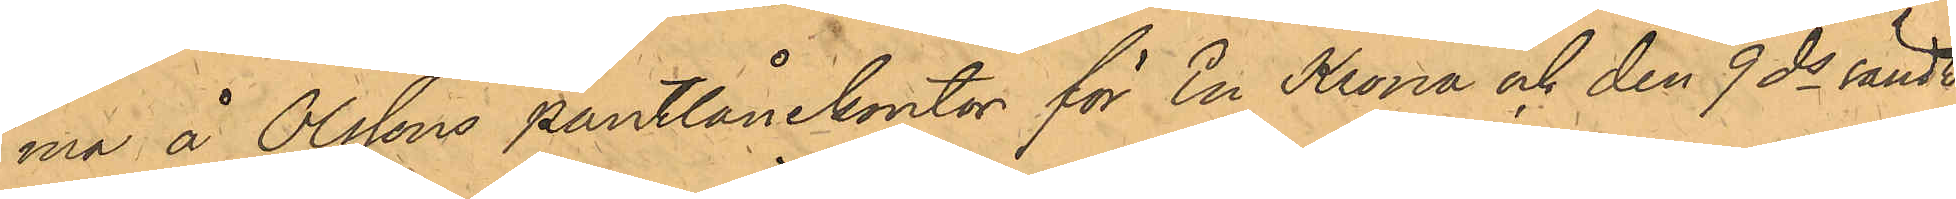ma å Olssons pantlånekontor för En Krona och den 9 ds sändt
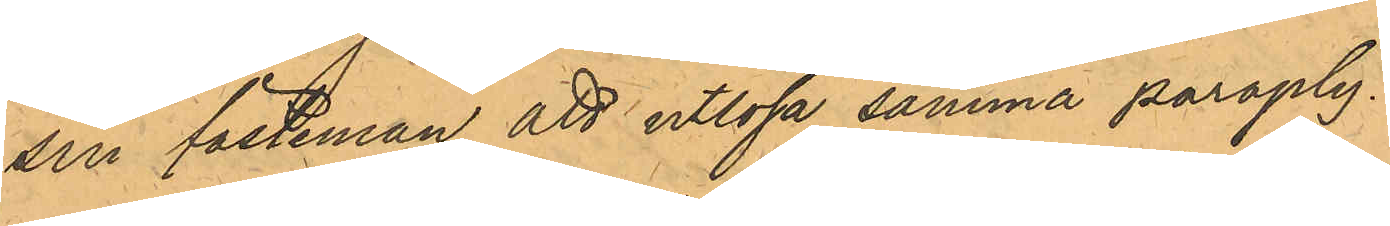sin fästeman att utlösa samma paraply.
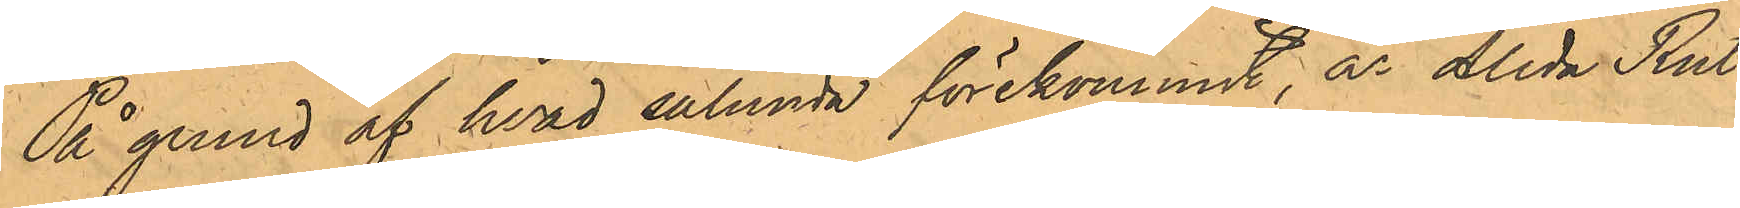På grund af hvad sålunda förekommit, är Alida Rut¬
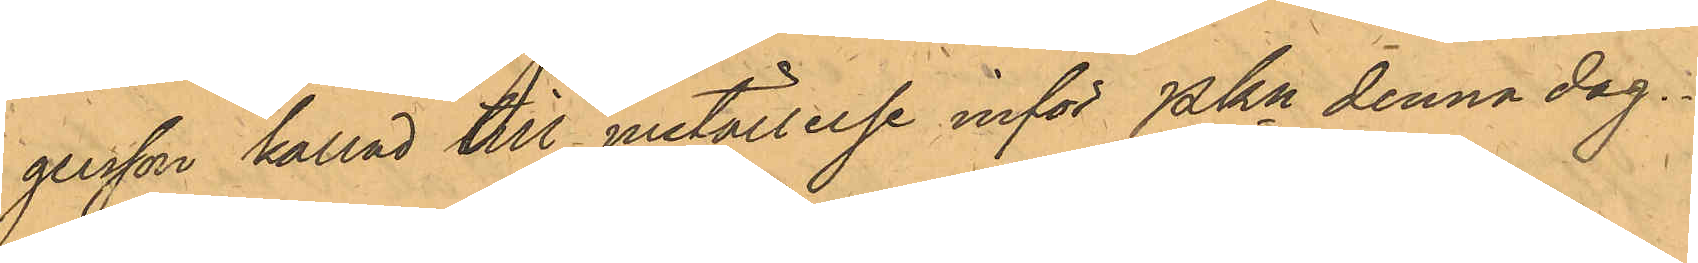gersson kallad till inställelse inför Pkn denna dag.
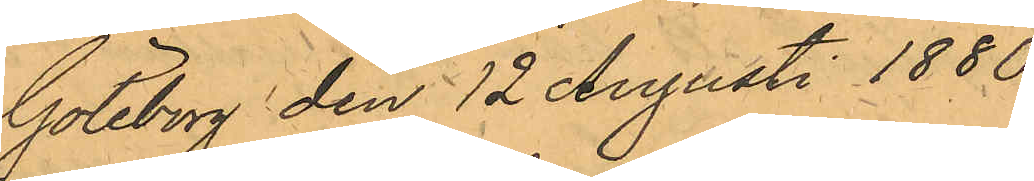Göteborg den 12 Augusti 1880.
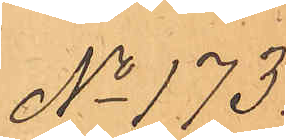No 173.
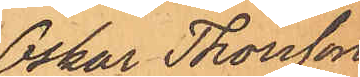Oskar Thorsson
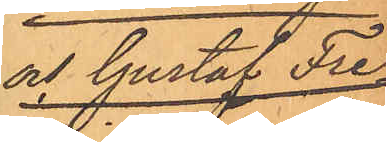och Gustaf Fre¬
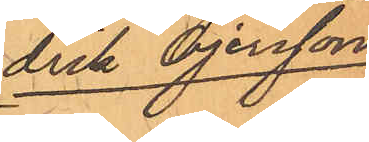drik Öjersson.
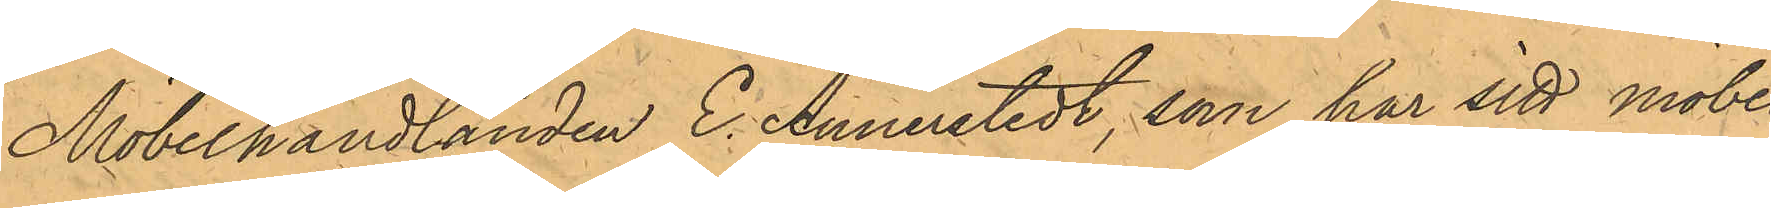Möbelhandlanden E. Annerstedt, som har sitt möbel¬
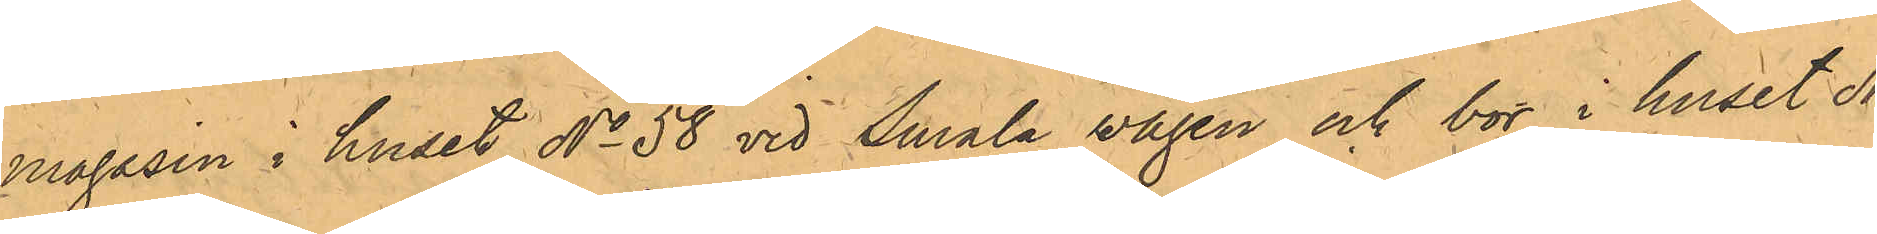mogasin i huset No 58 vid Smala vägen och bor i huset No
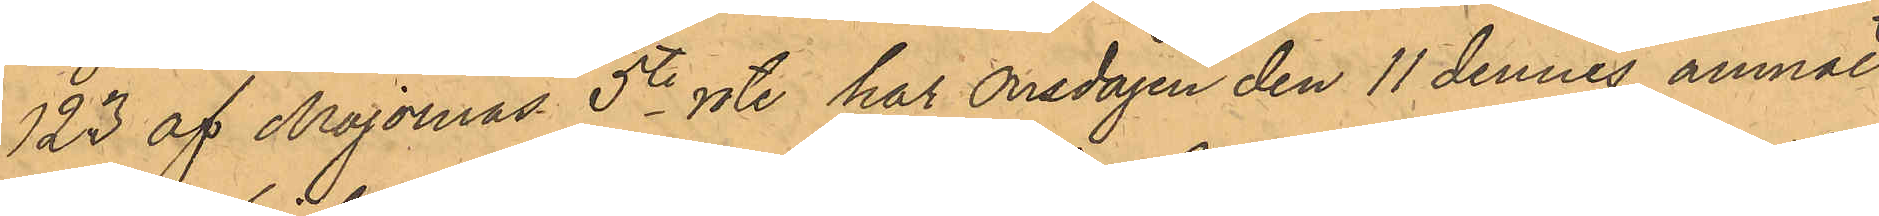123 af Majornas 5te rote har Onsdagen den 11 dennes anmält,
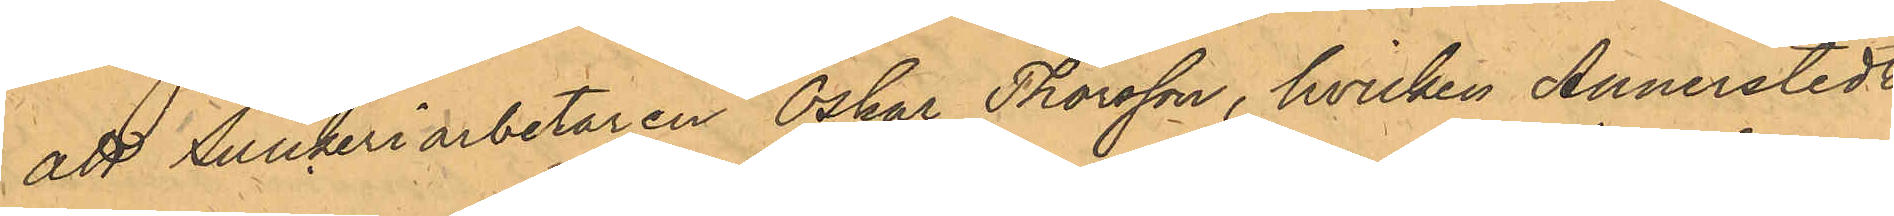att Snickeriarbetaren Oskar Thorsson, hvilken Annerstedt
